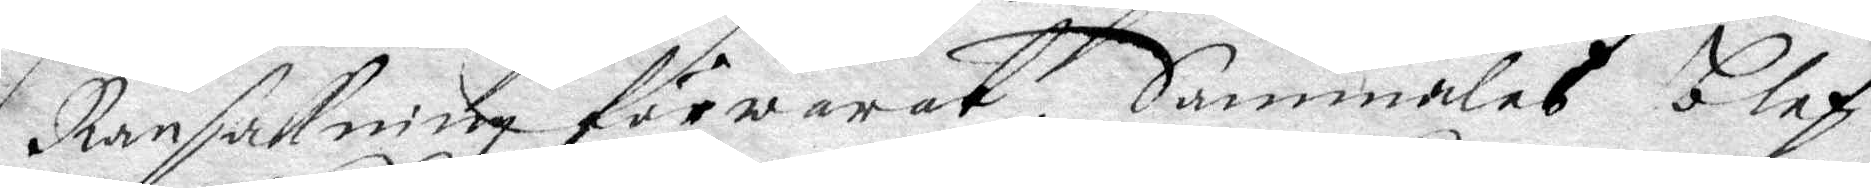Ransakning förwarat, Sammaledes blef
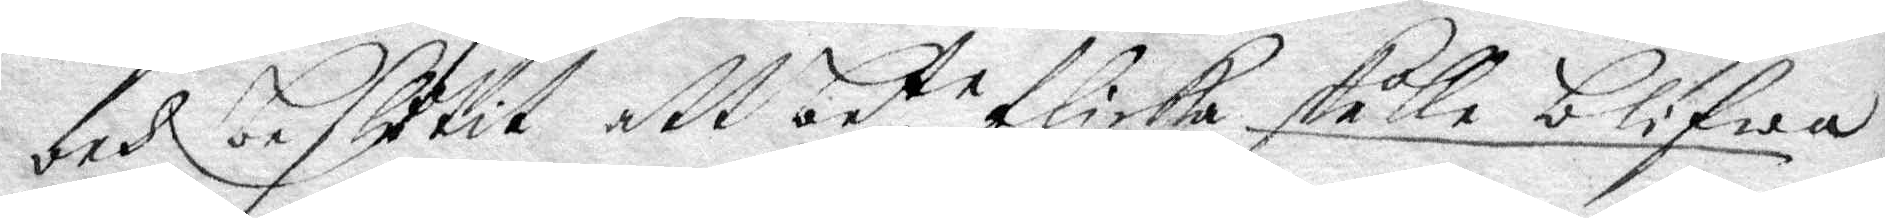och beslutit att bete flicka skulle blifwa
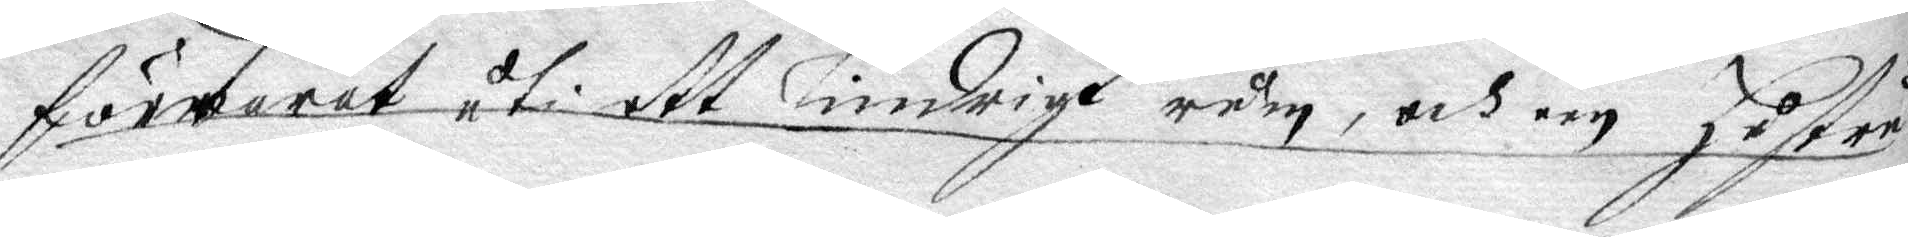förwarat uti ett lindrigt rum, och en hustru
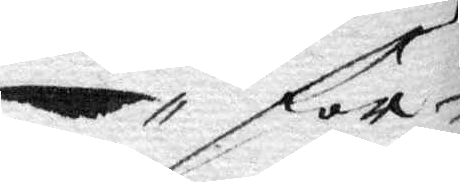för¬
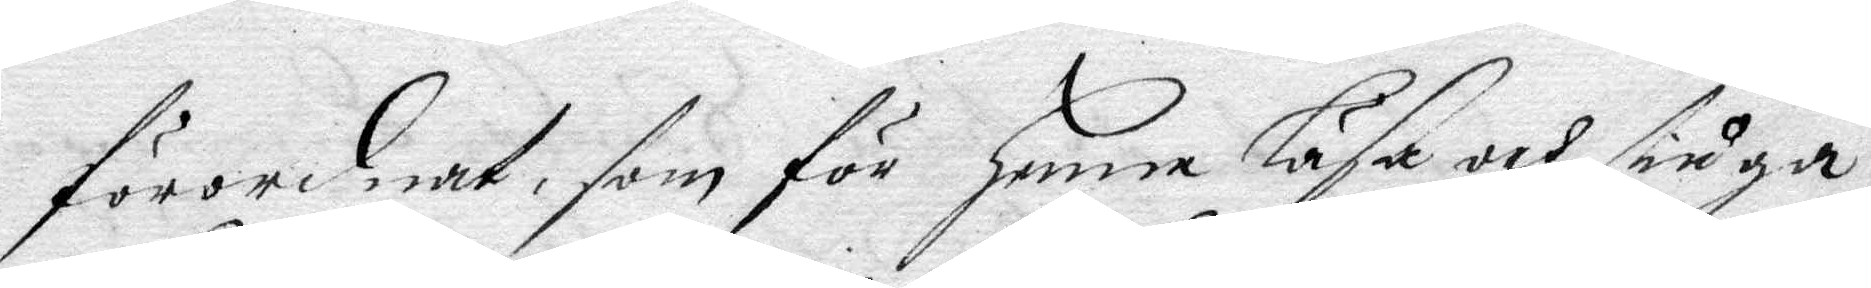förordnat, som för henne läsa och fråga
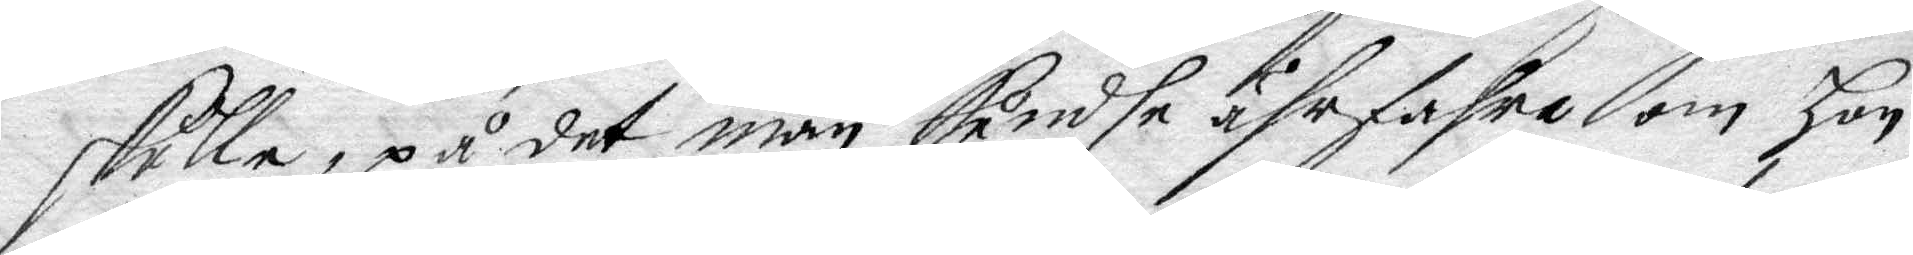skulle, på det man kundhe ährfahra om hon
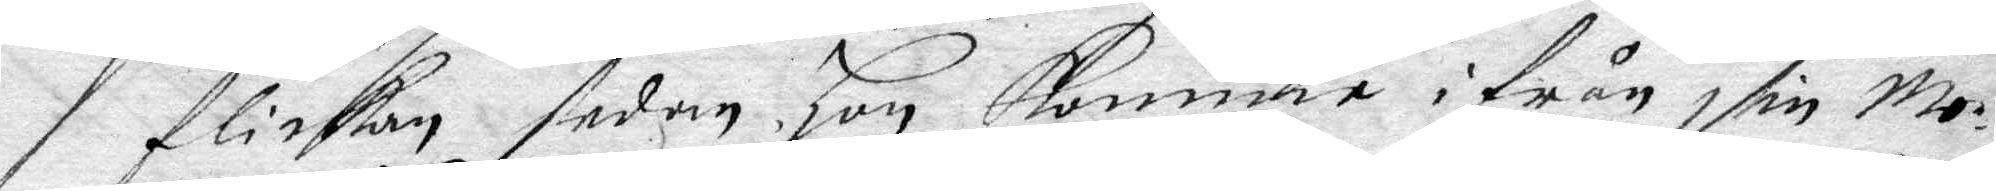flickan sedan hon komme ifrån sin Mo¬
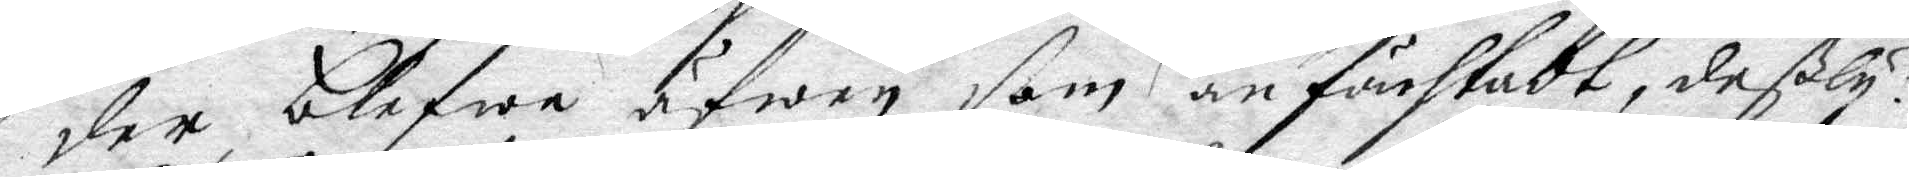der blefwe äfwen som förr an förstodt, deßly¬
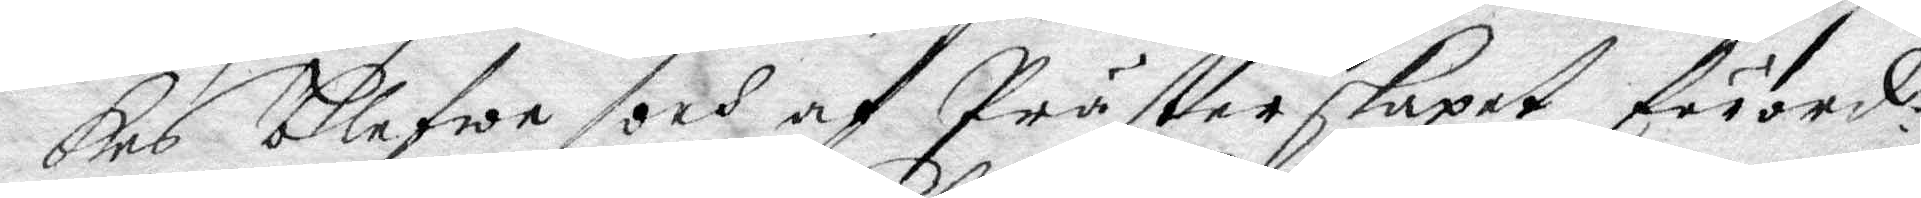kes blefwe och af Prästerskapet förord¬
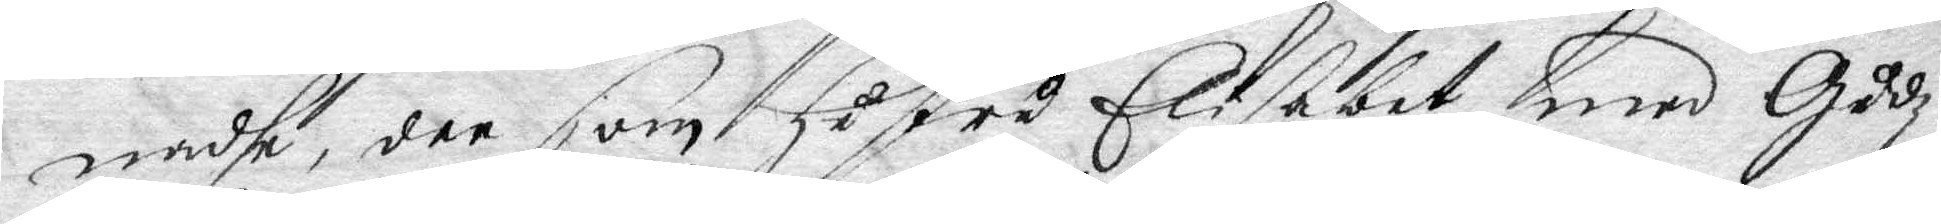nadhe, dee som hustru Elisabet med Gudz
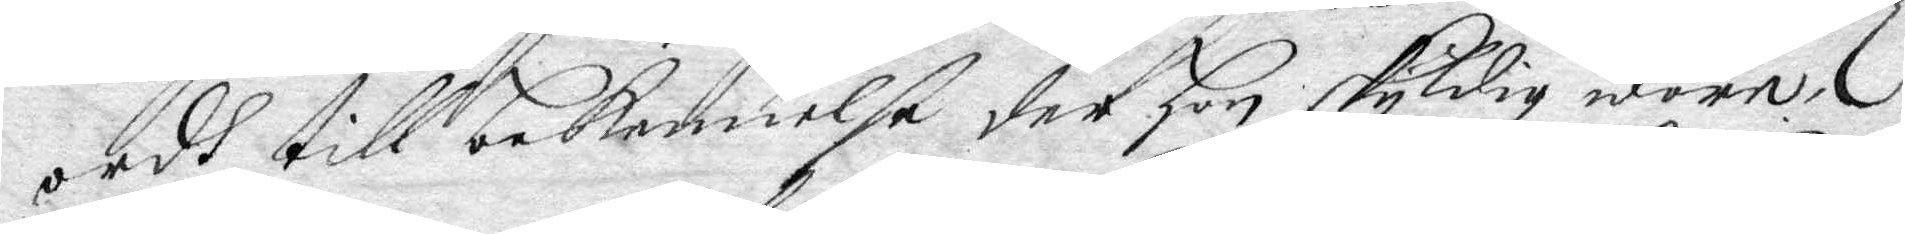ordh till bekennelße der hon skyldig wore,
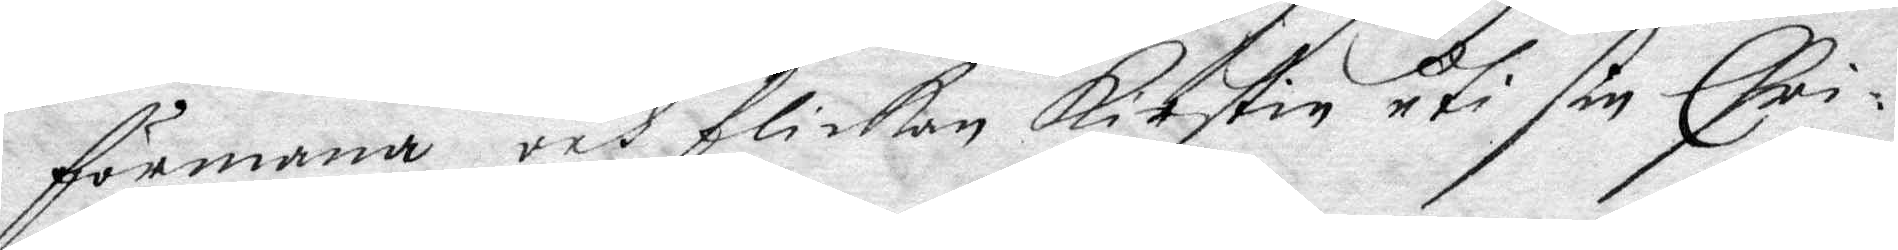förmana och flickan Kirstin uti sin Chri¬
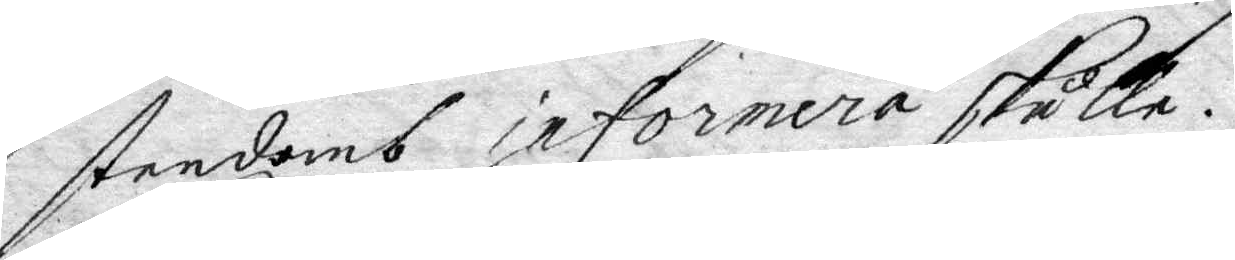stendoms informera skulle.
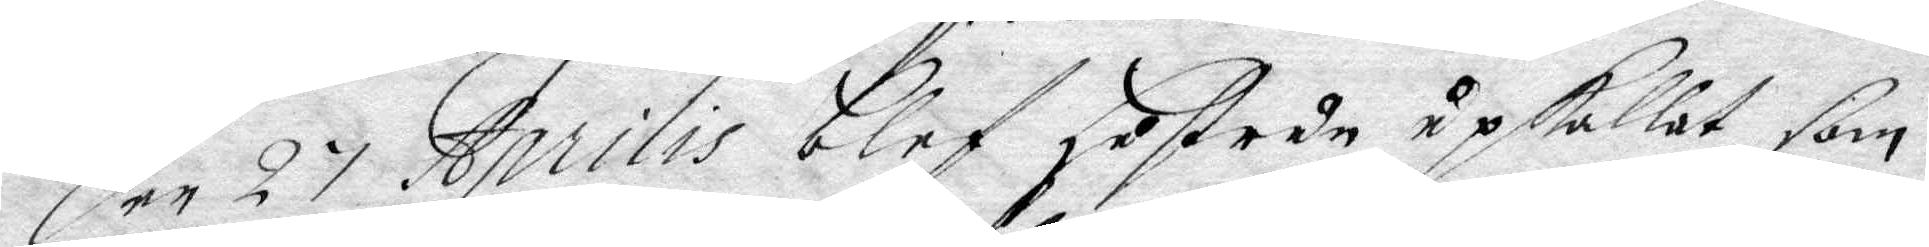Den 27 Aprilis blef hustrun upkallat som
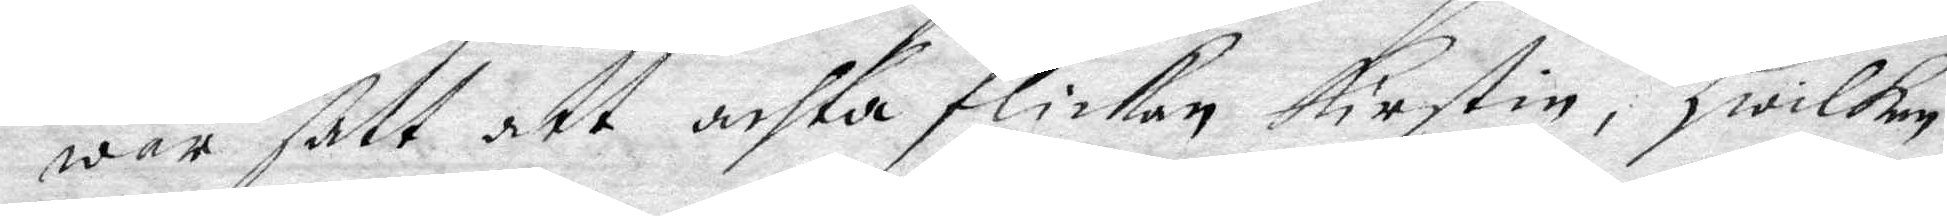war satt att achta flickan Kirstin, hwilken
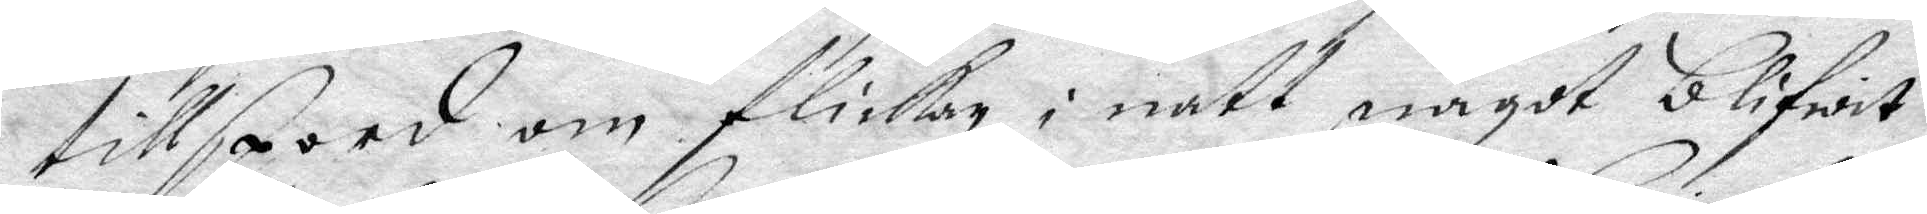tillspord om flickan i natt något blifwit
